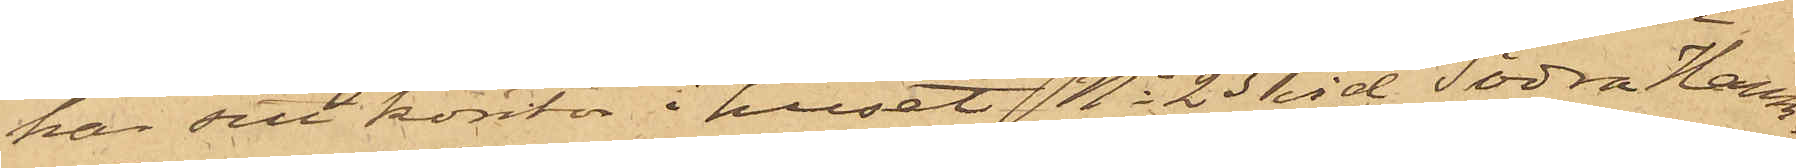har sitt kontor i huset No 23 vid Södra Hamn¬
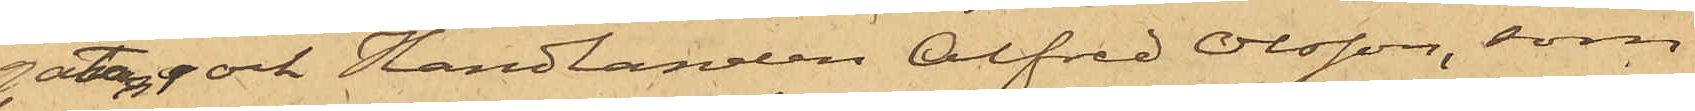gatan, och Handlanden Alfred Olsson, som
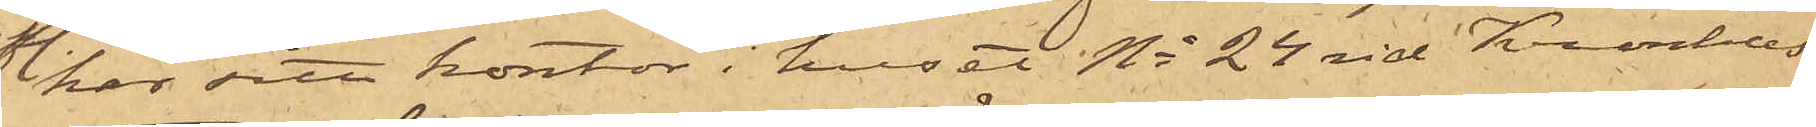har sitt kontor i huset No 24 vid Kronhus¬
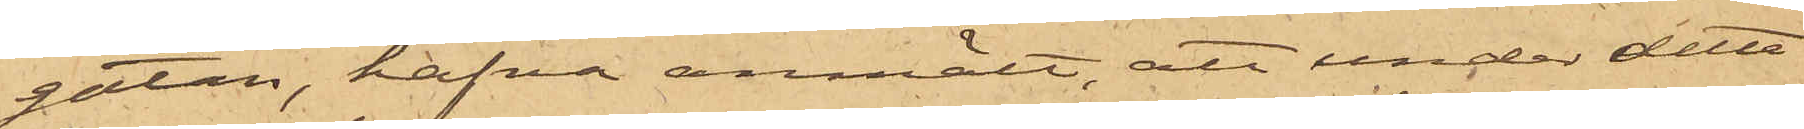gatan, hafva anmält, att under detta
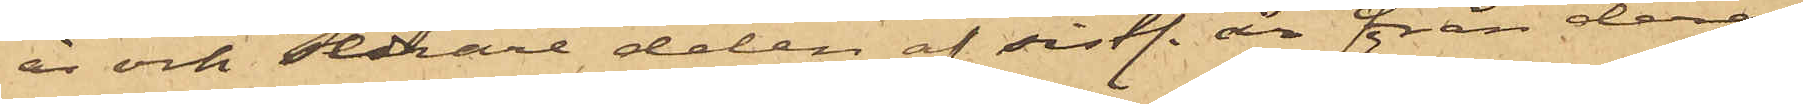år och sednare delen af sistl. år från deras
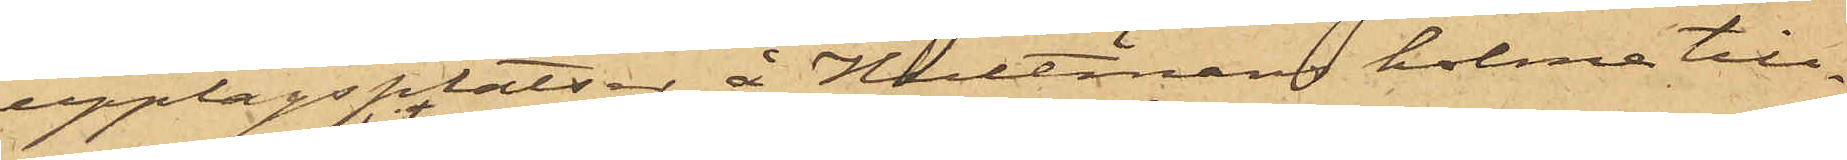upplagsplatser å Hultmans holme till¬
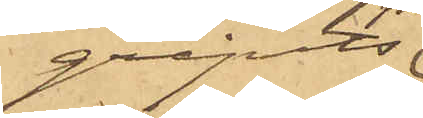gripits
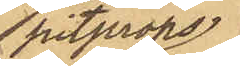pitprops
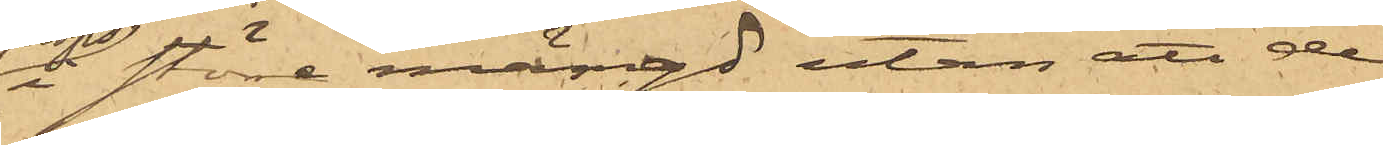i större mängd utan att de
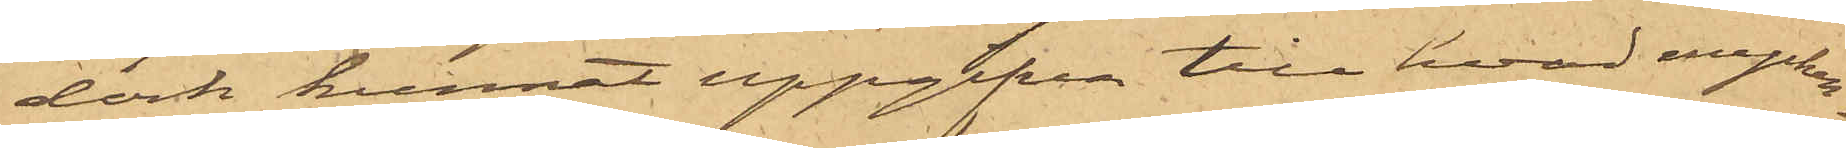dock kunnat uppgifva till hvad mycken¬
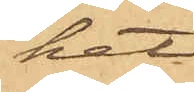het.
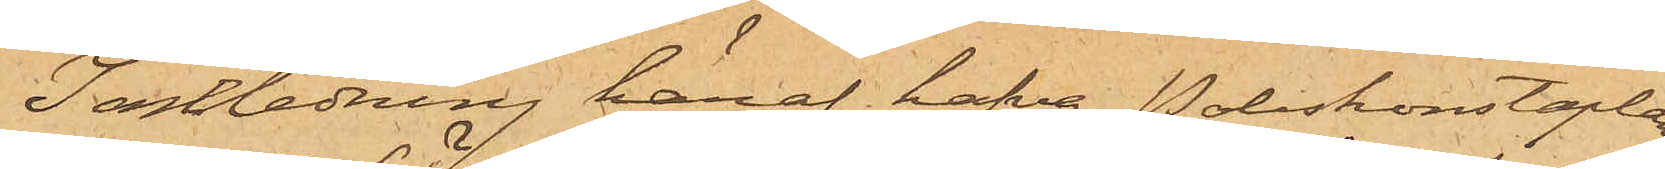I anledning häraf hafva Poliskonstaplar¬
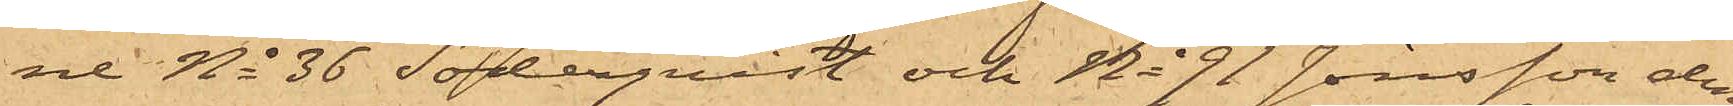ne No 36 Söderquist och No 91 Jönsson den
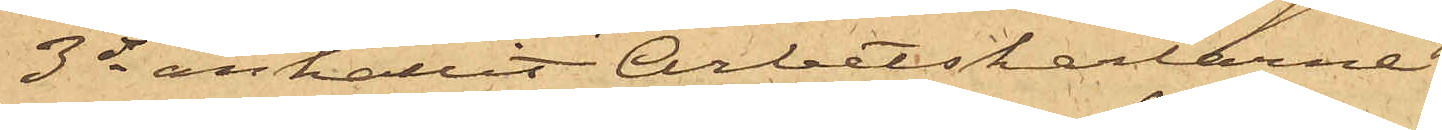3 ds anhållit Arbetskarlarne
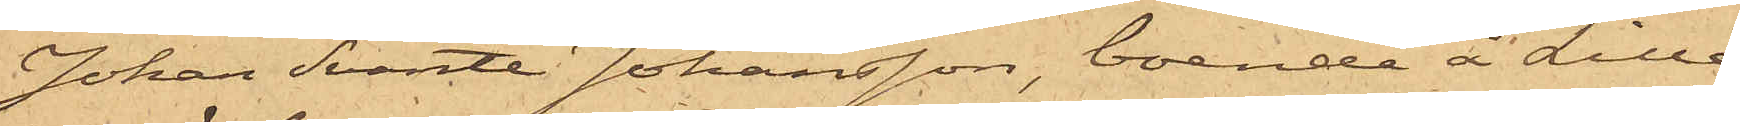Johan Svante Johansson, boende å Lilla
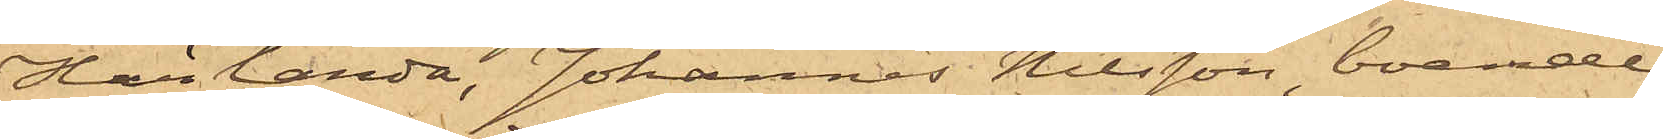Härlanda, Johannes Nilsson, boende
